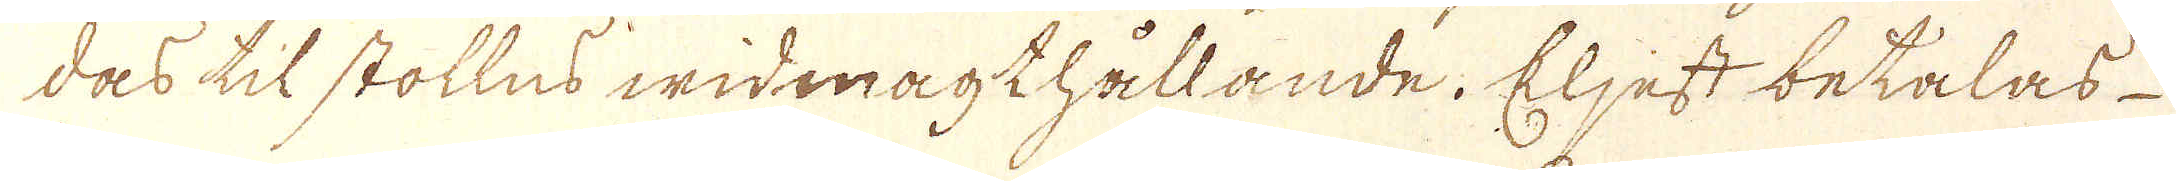dås til stollns widmagthållande. Eljest betalas
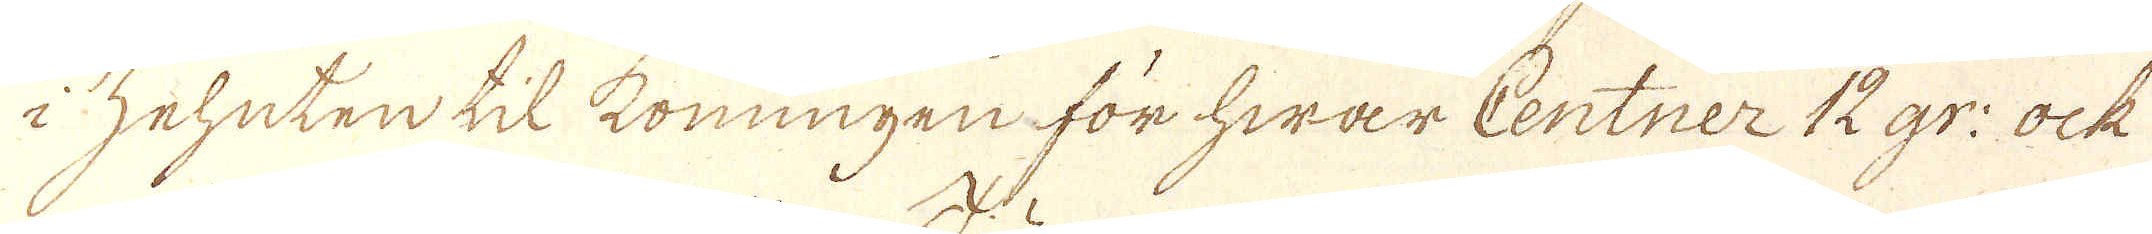i zehuten til Konungen för hwar Centner 12 gr: ock
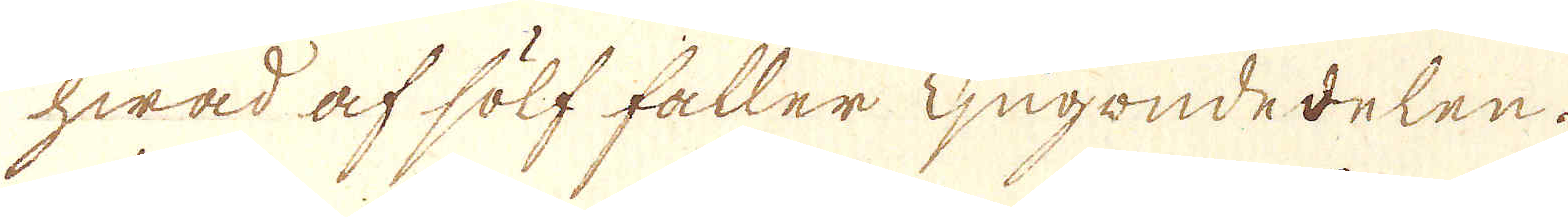hwad af sölf håller Tjugondedelen.
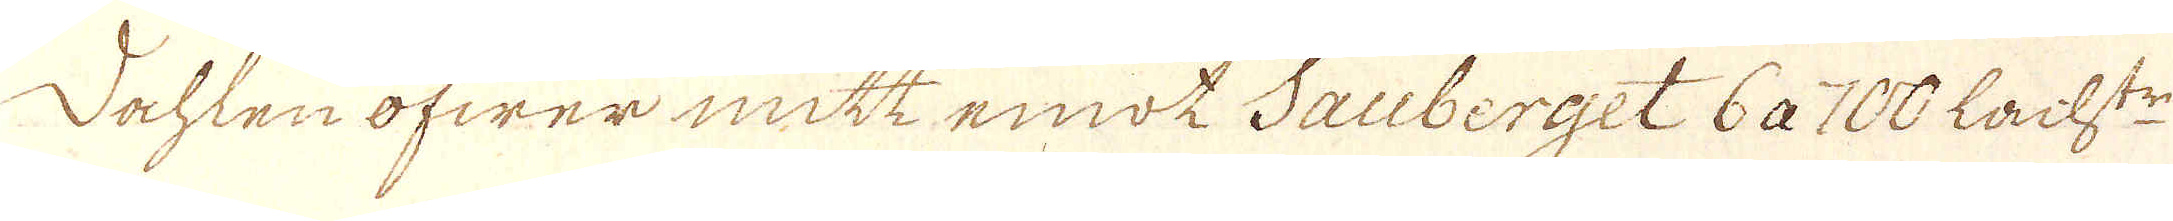Dehlen öfwer mitt emot Sauberget 6 a 100 Lacht:r
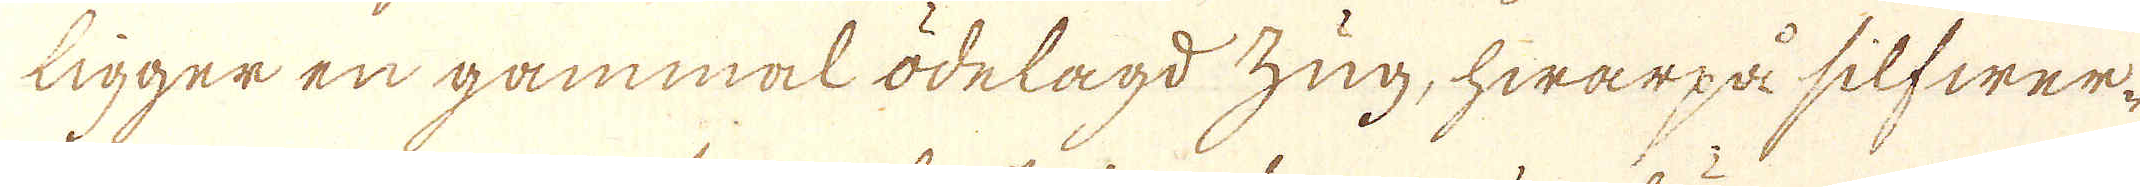ligger en gammal ödelagd zug, hwarpå silfwer-
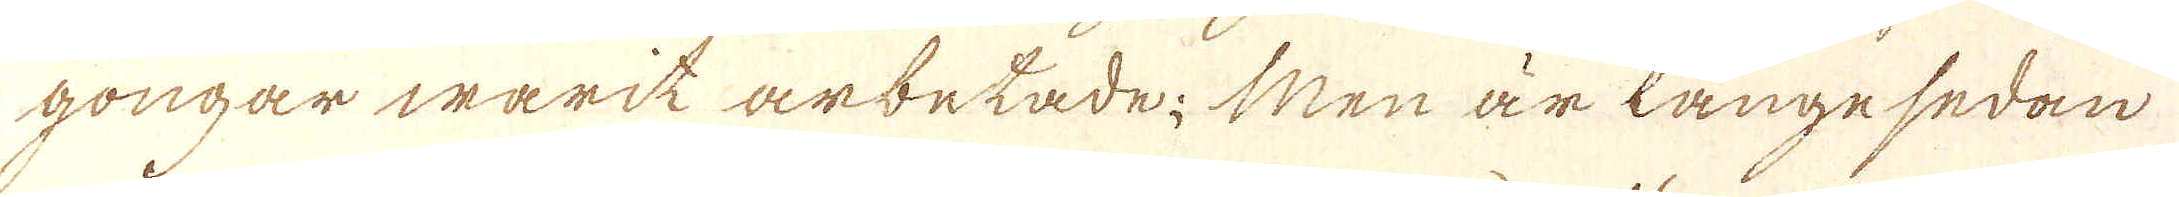gongar warit arbetade; Men är längesedan
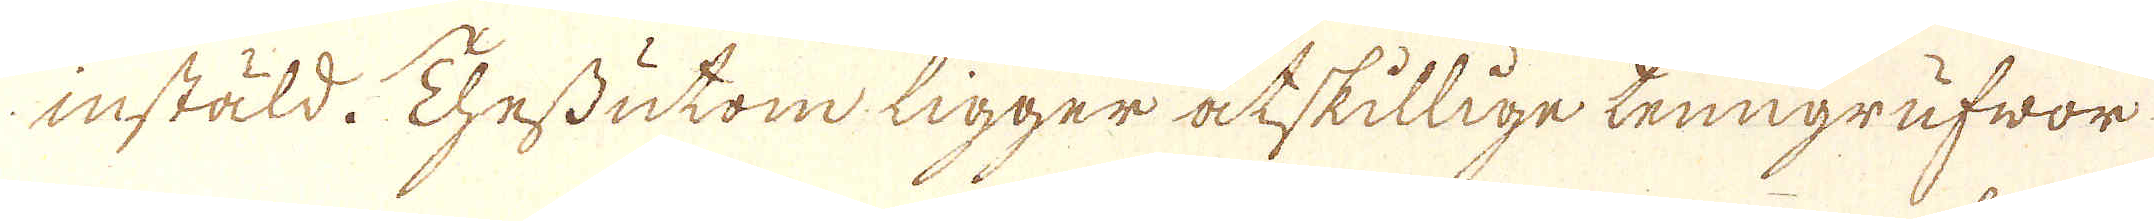instäld. Thessutom ligger åtskillige tenngrufwor
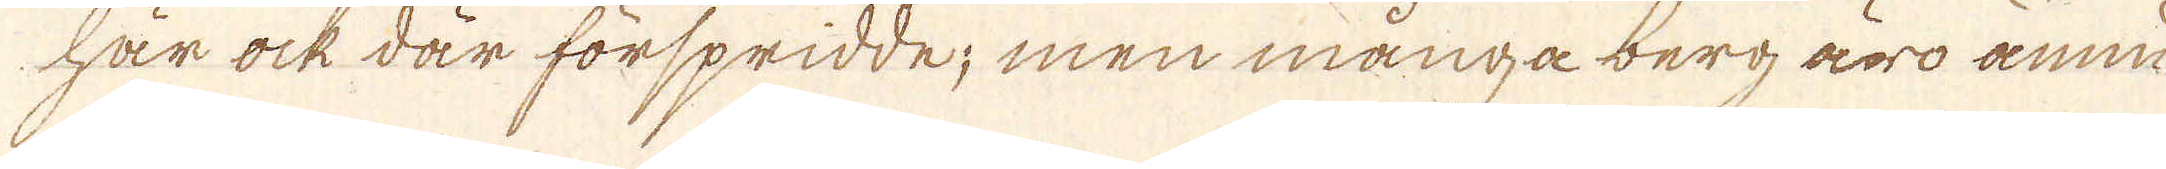här ock där förspridde; men många berg äro ännu
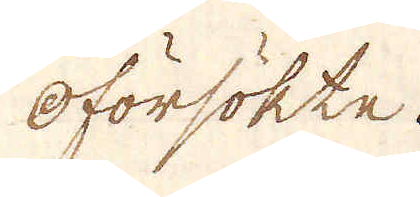oförsökte.
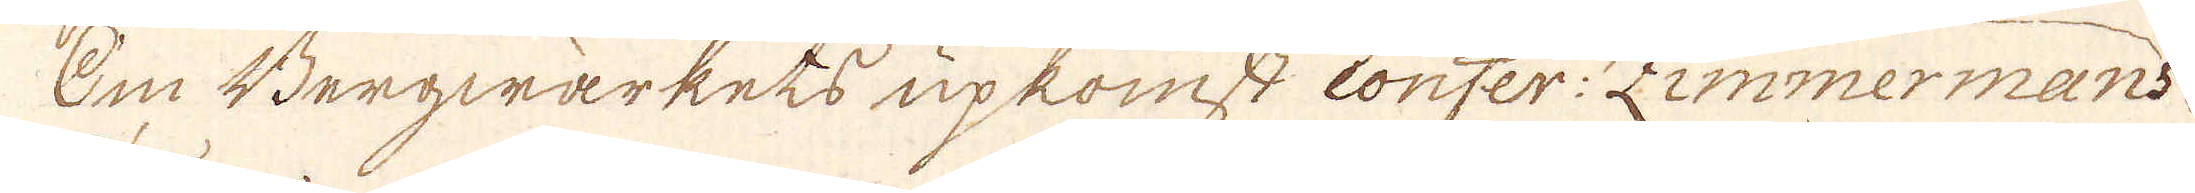Om Bergwärkets upkomst confer: Zimmermans
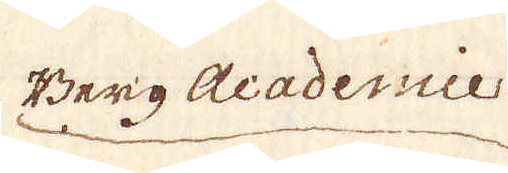Berg Acadennie
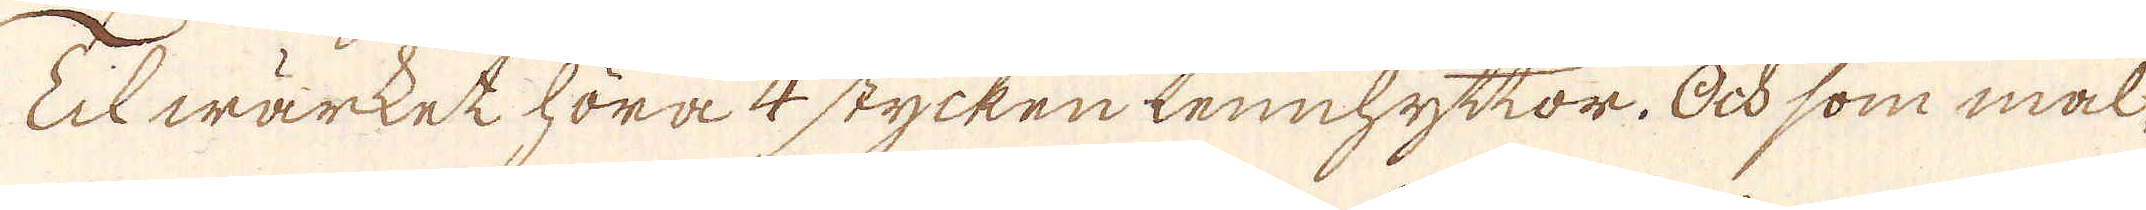Til wärket höra 4 stycken tennhyttor. Ock som mal
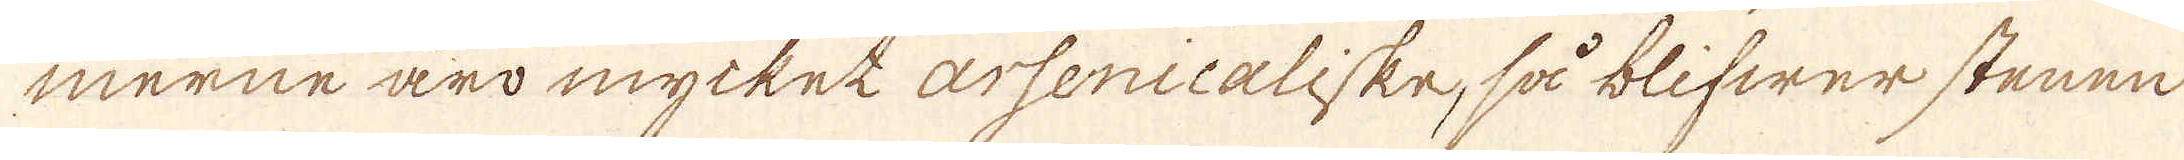merne äro mycket arsenicaliske, så blifwer stenen
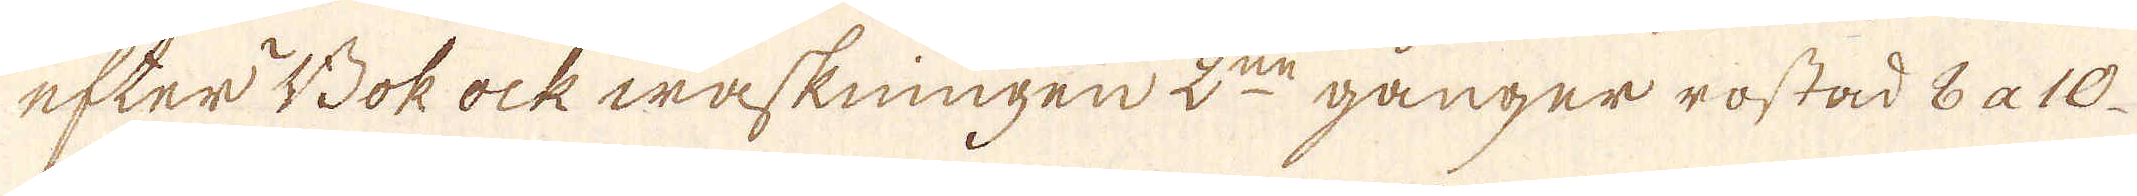efter Bok ock waskningen 2:ne gånger rostad 8 a 10.
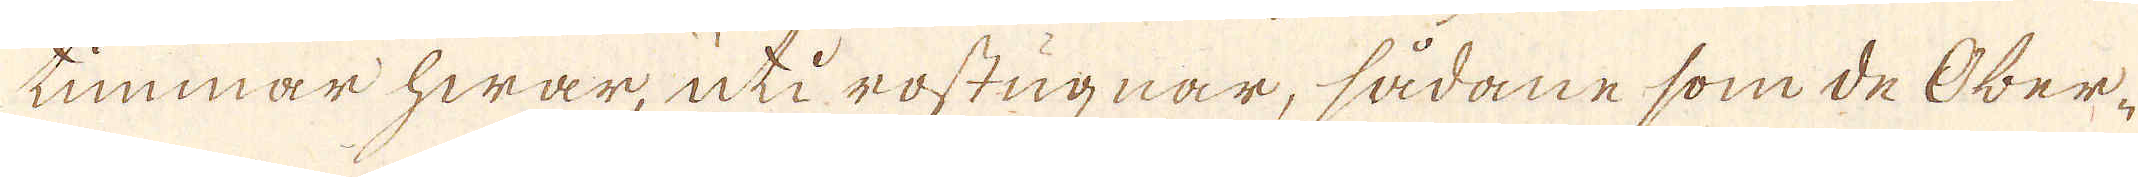timmar hwar, uti rostugnar, sådane som de Ober-
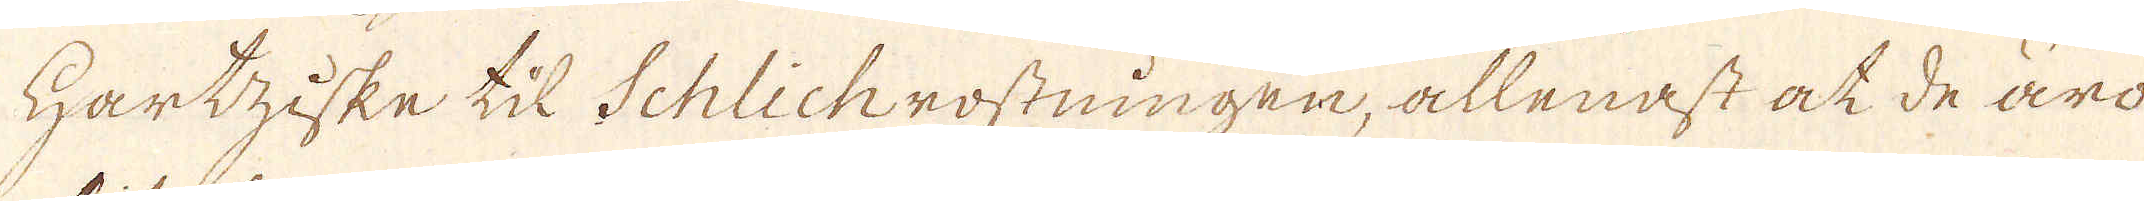Hartziske til Schlichrostningen, allenast at de äro
